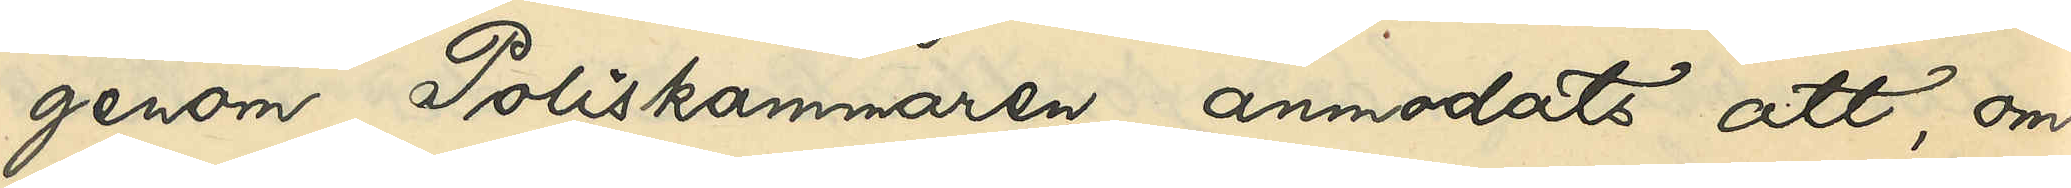genom Poliskammaren anmodats att, om
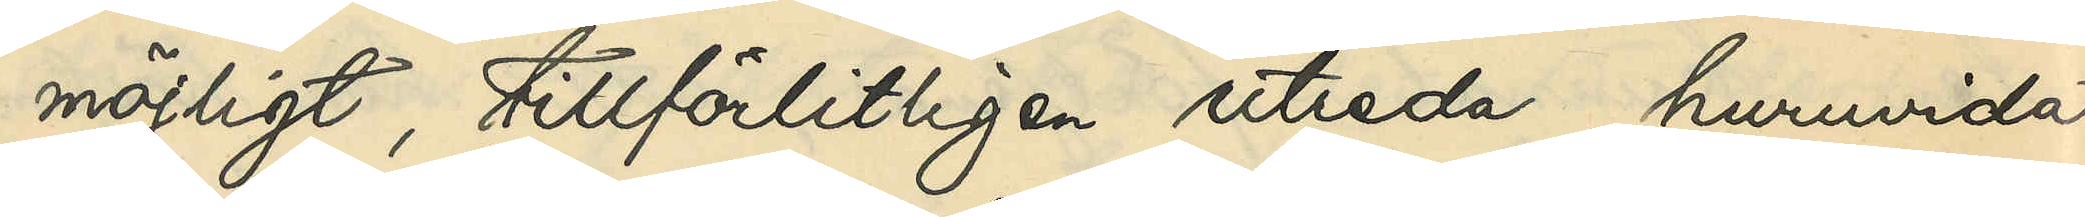möjligt tillförlitligen utreda, huruvida
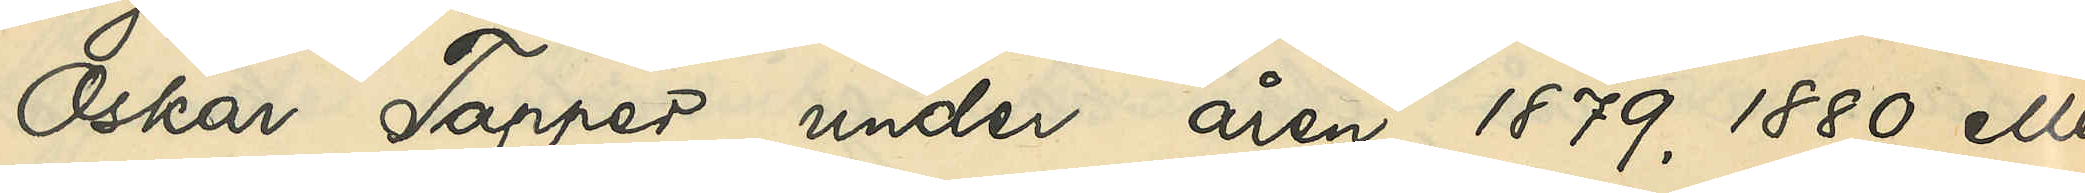Oskar Tapper under åren 1879, 1880 eller
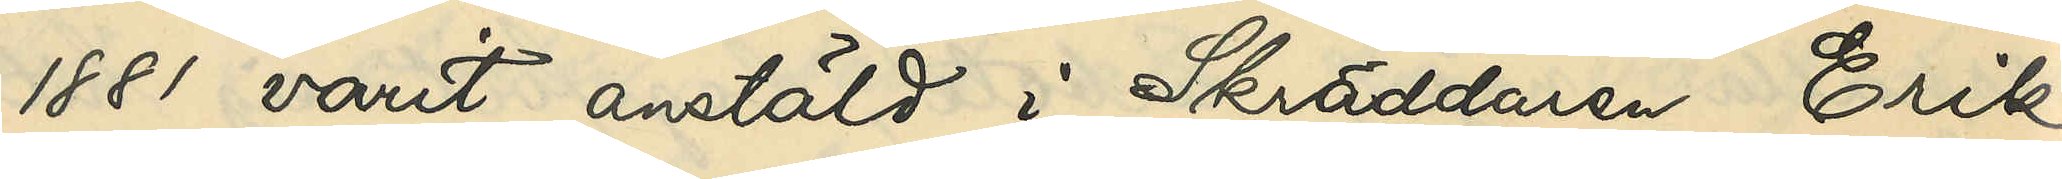1881 varit anstäld i Skräddaren Erik
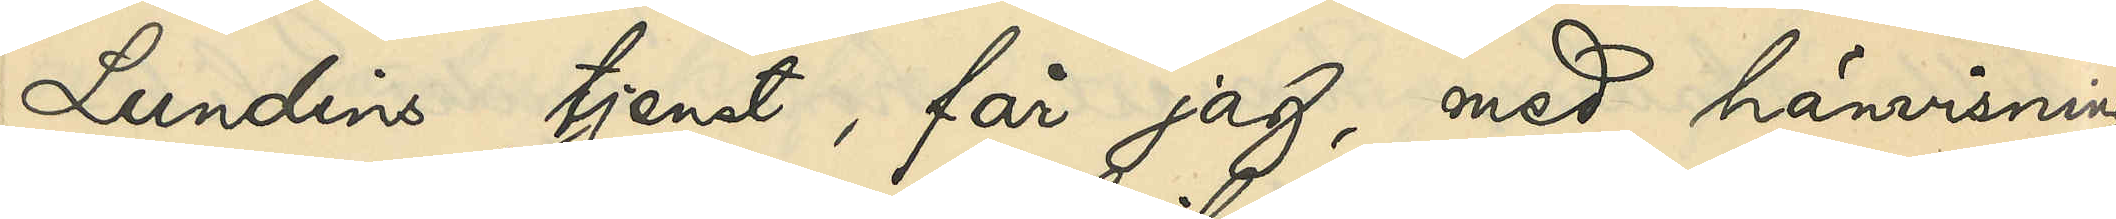Lundins tjenst, får jag, med hänvisning
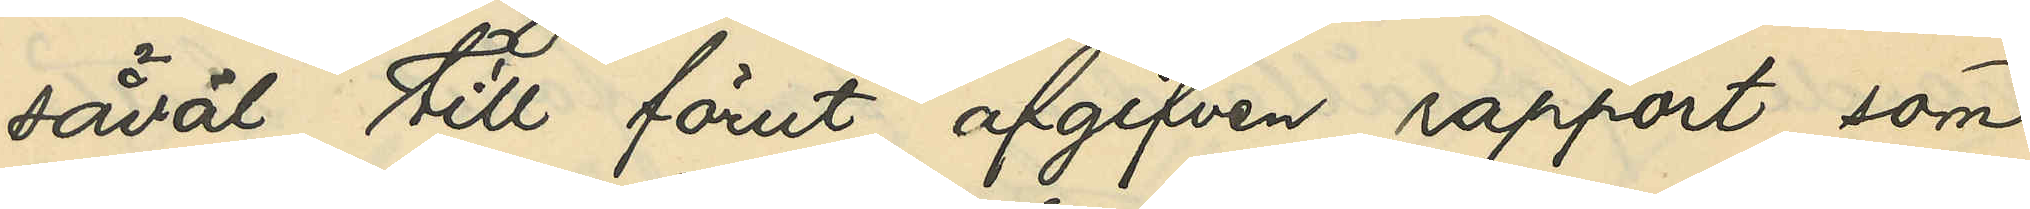såväl till förut afgifven rapport som
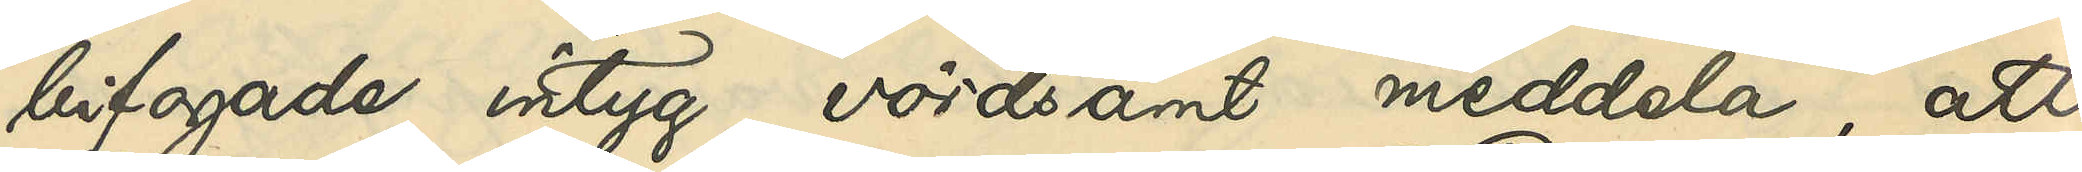bifogade intyg, vördsamt meddela, att
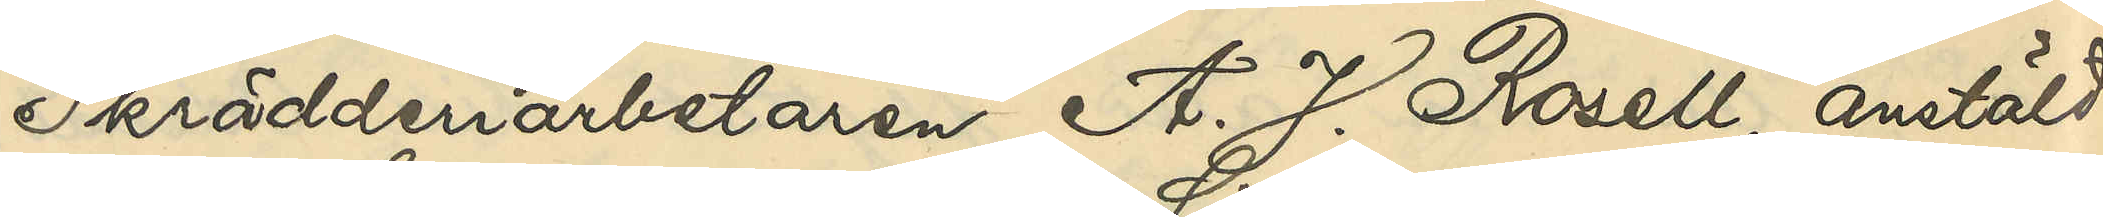Skrädderiarbetaren A. J. Rosell, anstäld
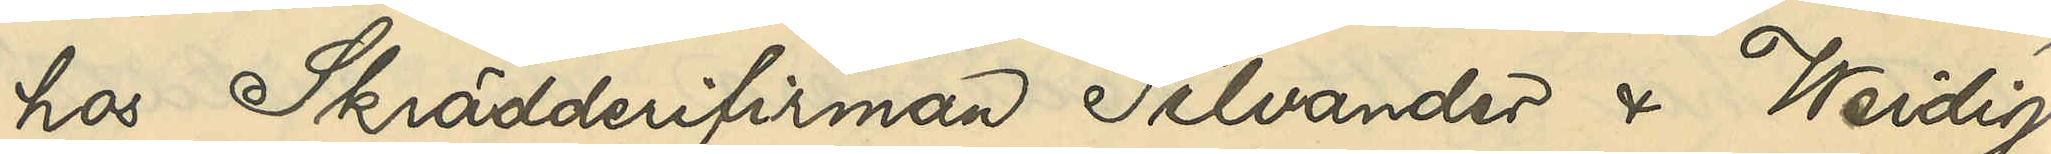hos Skrädderifirman Silvander & Weidig
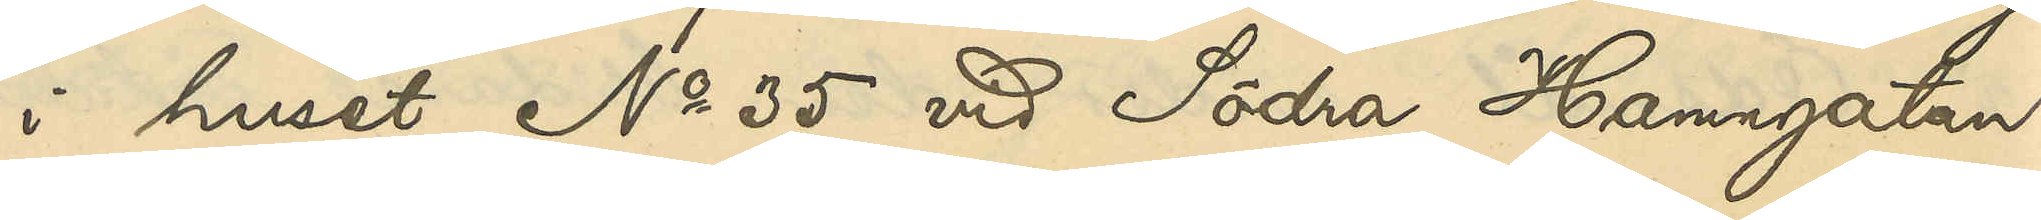i huset No 35 vid Södra Hamngatan,
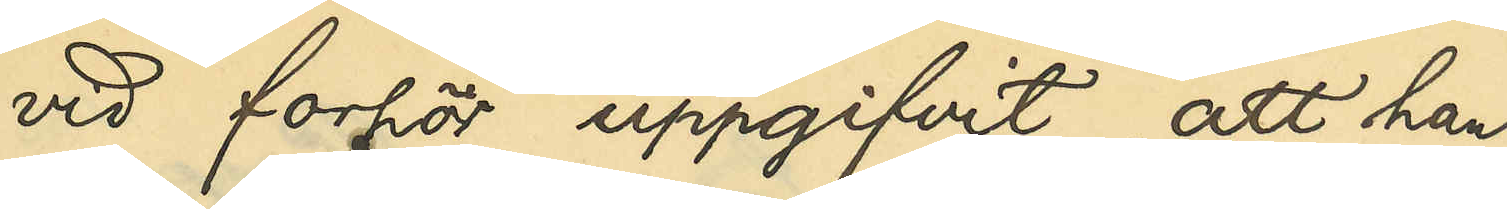vid forhör uppgifvit, att han
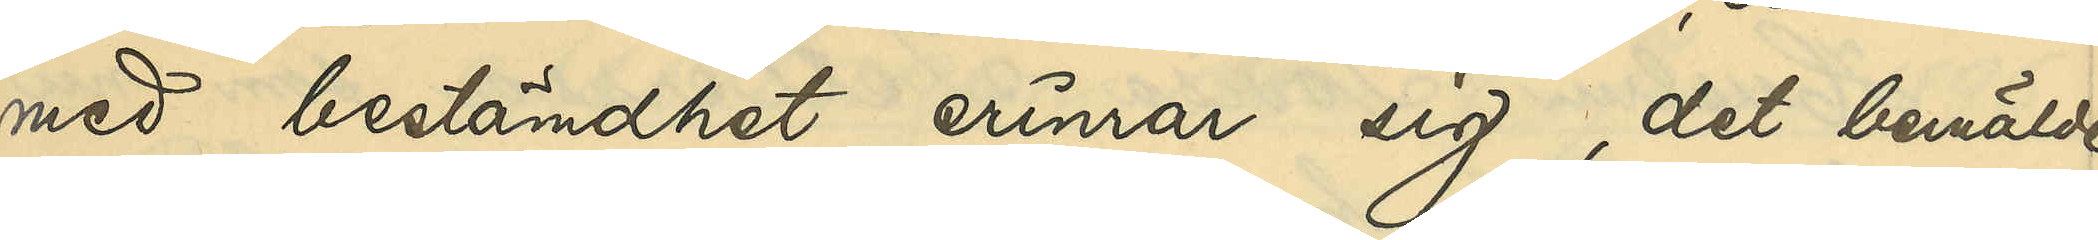med bestämdhet erinrar sig, det bemälde
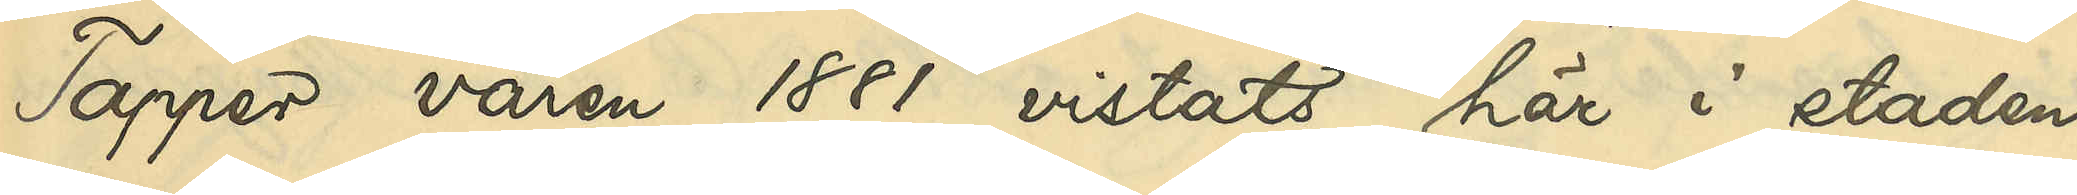Tapper våren 1881 vistats här i staden
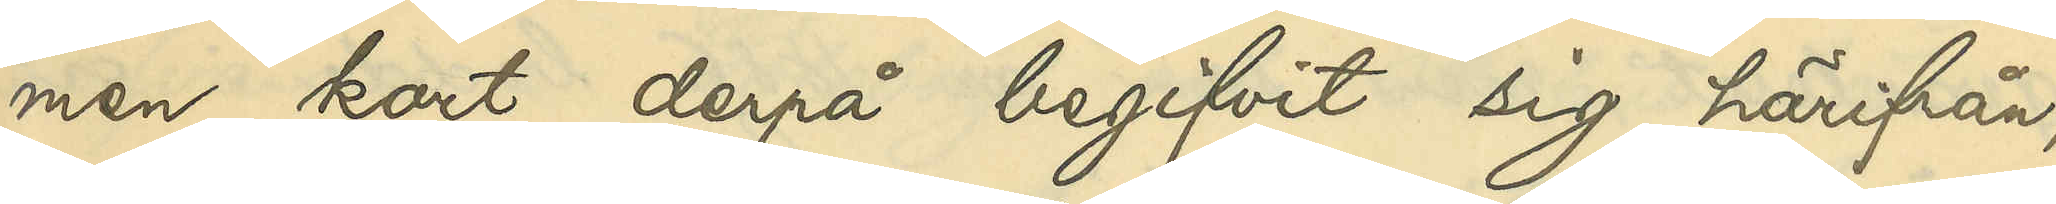men kort derpå begifvit sig härifrån;
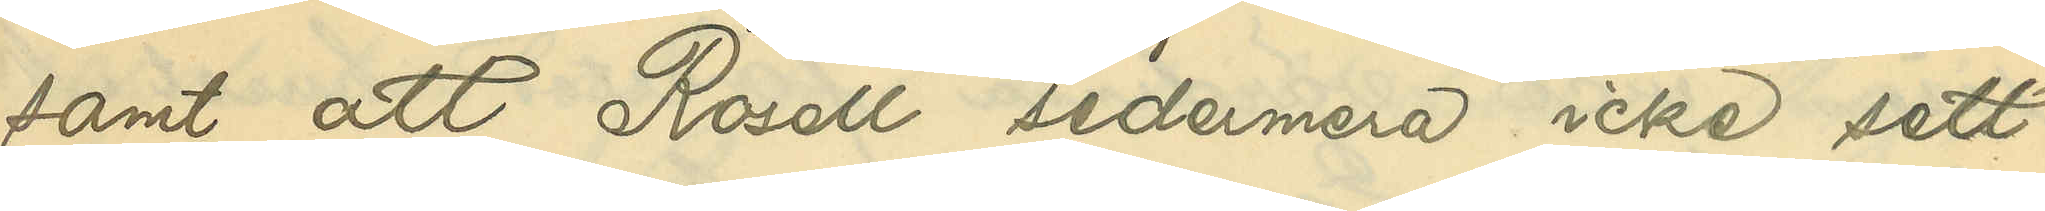samt att Rosell sedermera icke sett
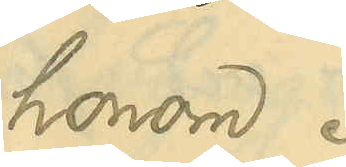honom.
